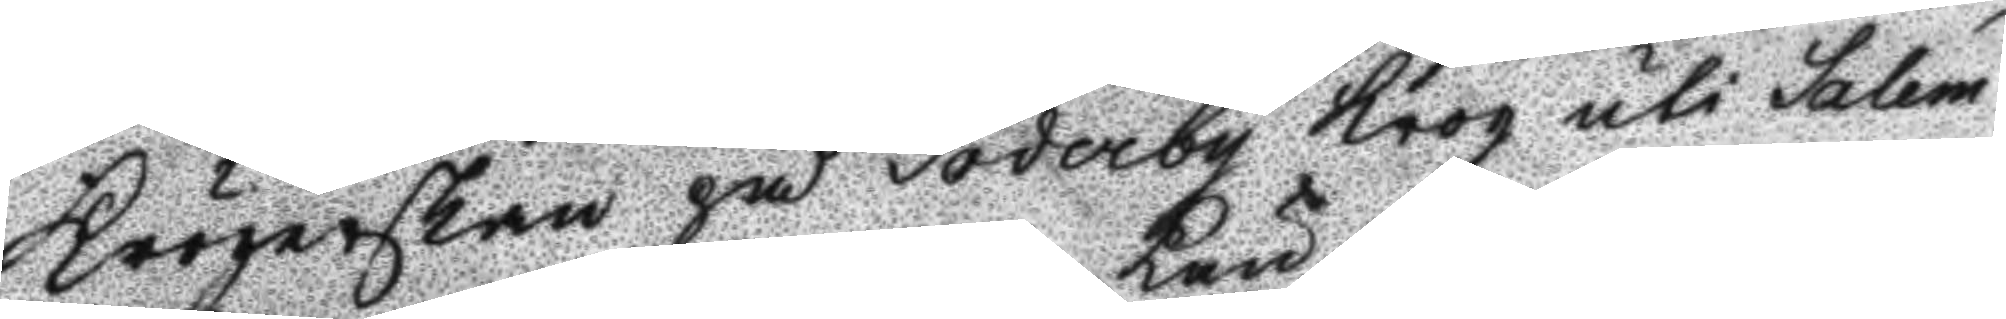Krögerskan på Söderby Krog uti Salem
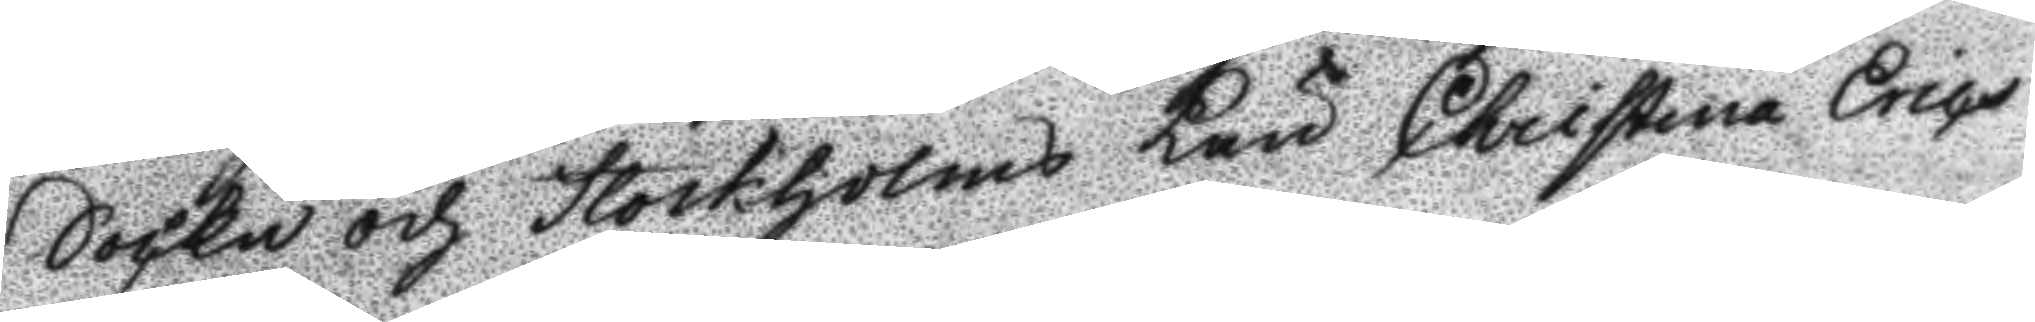Sockn och Stockholms Län Christina Erics¬
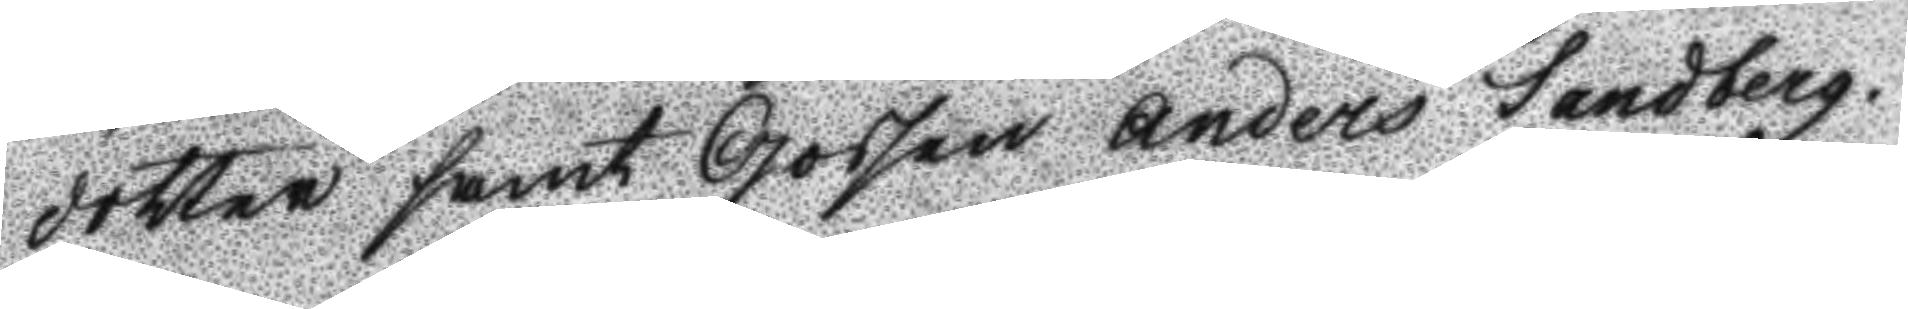dotter samt Gossen Anders Sandberg.
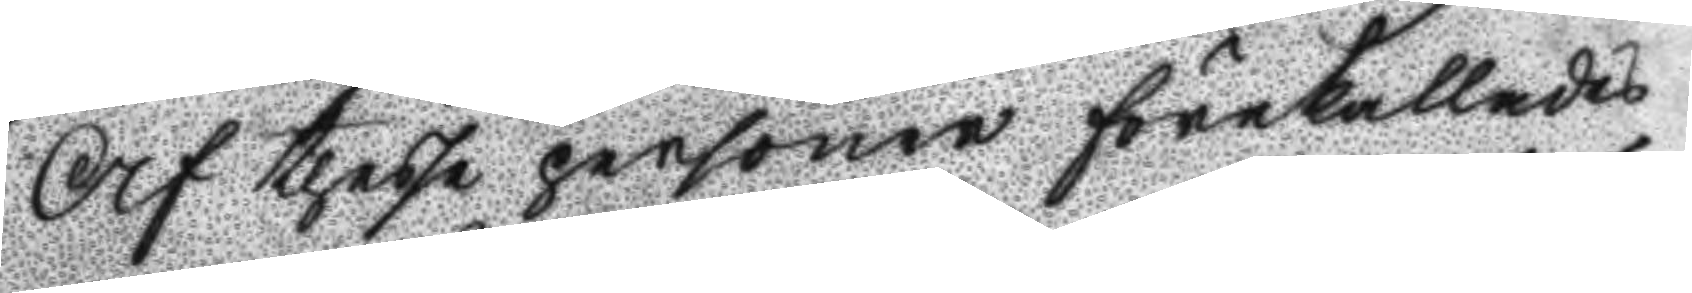Och thesse personer förekallades
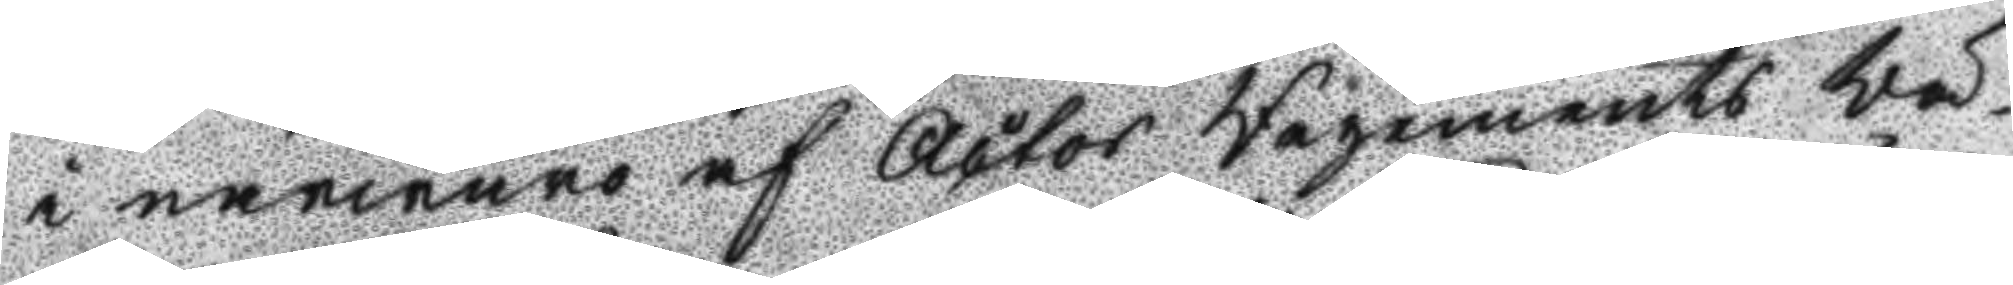i närwaro af Actor Regements Wä¬
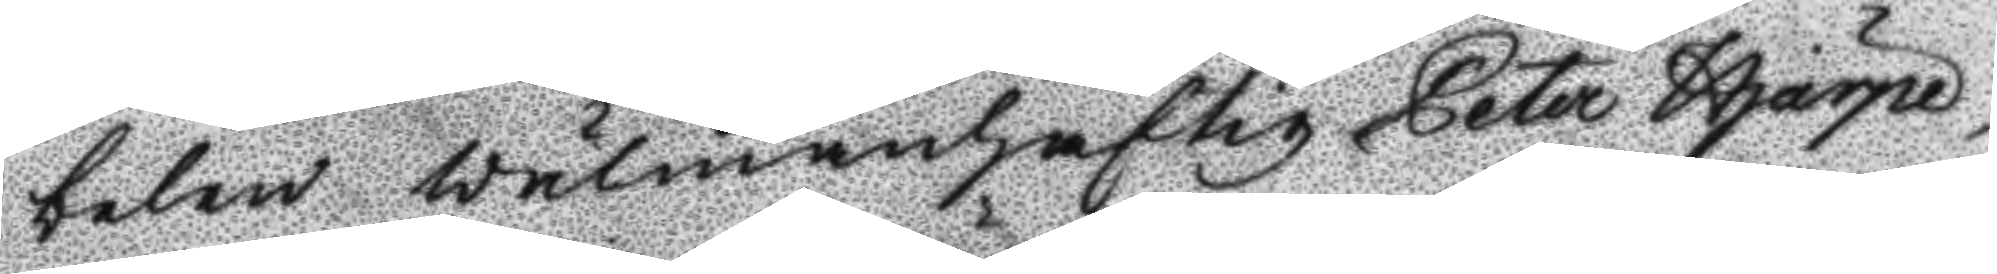belen Wälmanhaftig Peter Hjärpe,
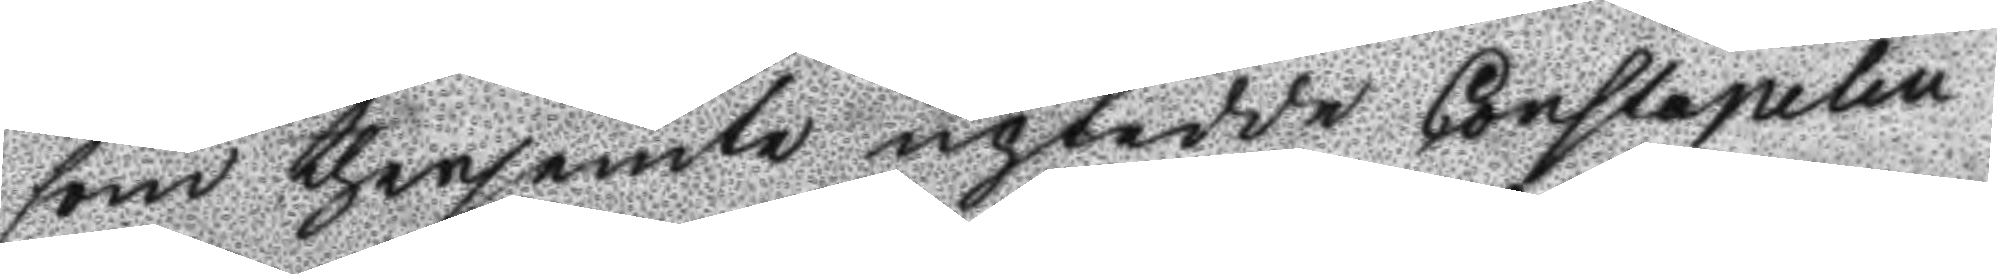som therjemte uptedde Constapelen
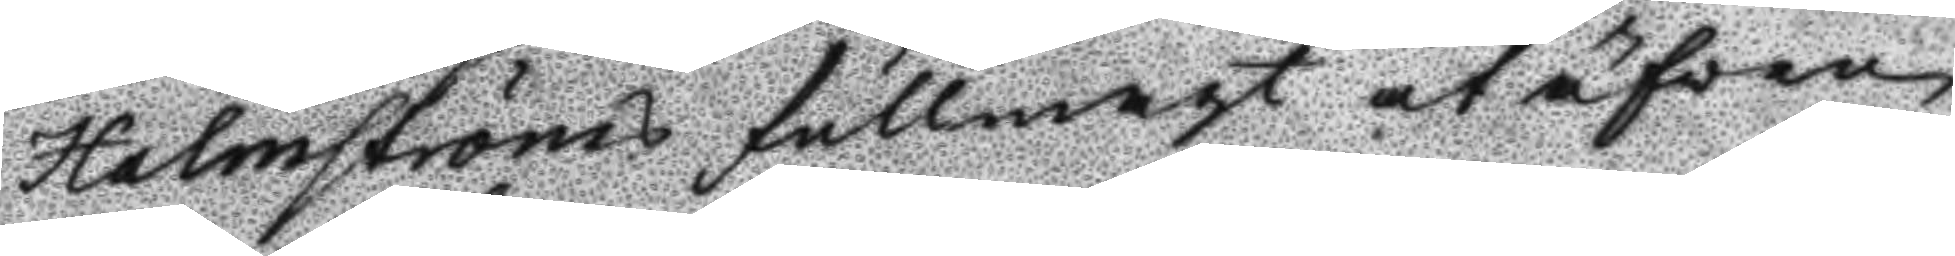Halmströms fullmagt at äfwen
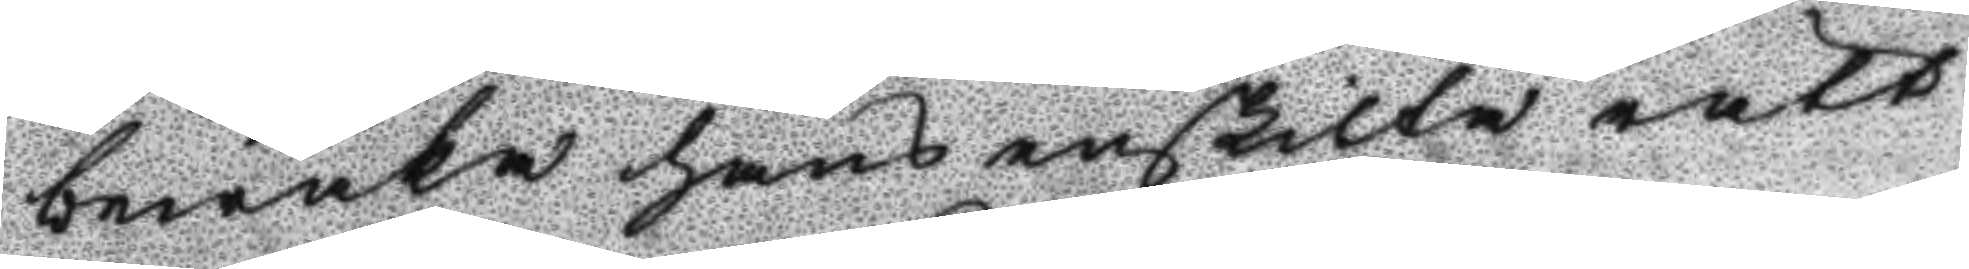bewaka hans enskilta rätt
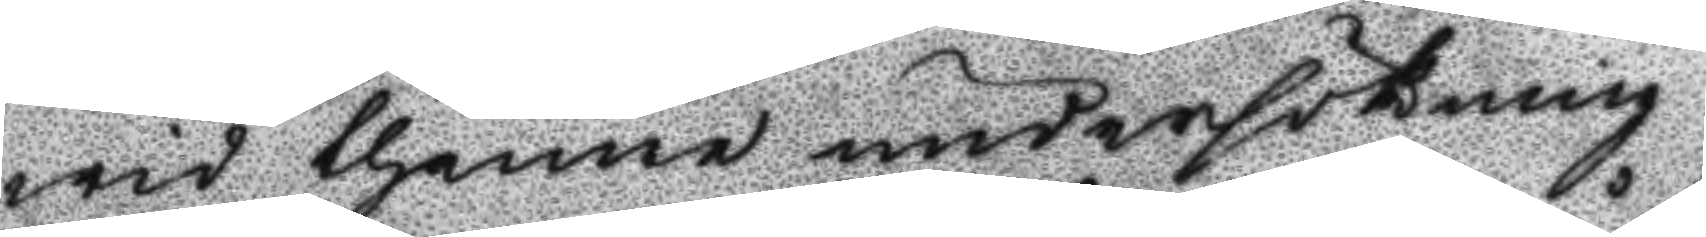wid thenne undersökning.
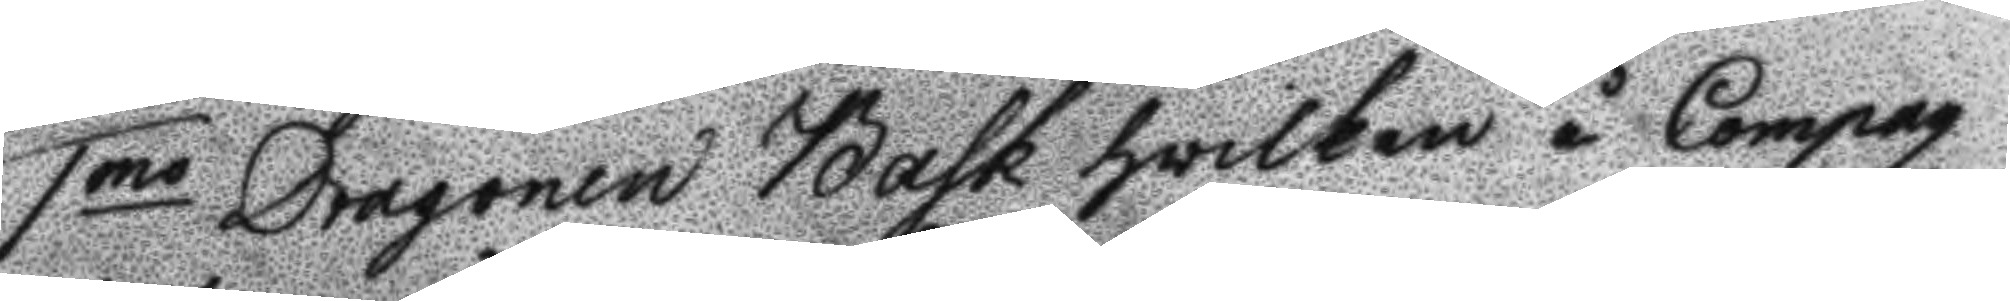1mo Dragonen Bask hwilken å Compag¬
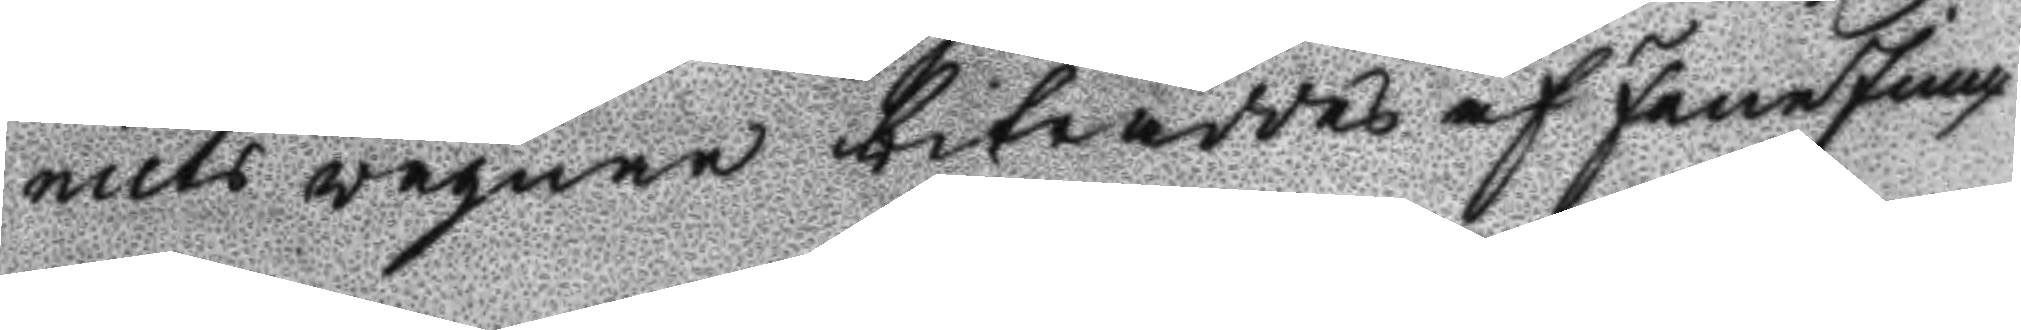niets wägnar biträddes af FaneJunc¬
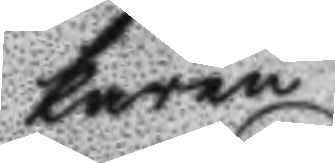karen
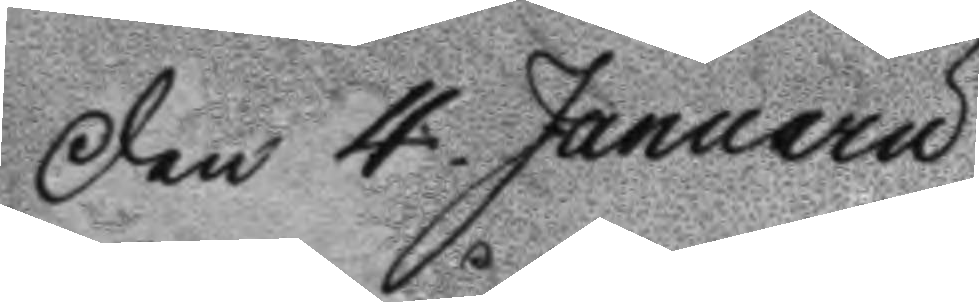Den 4. Januarii
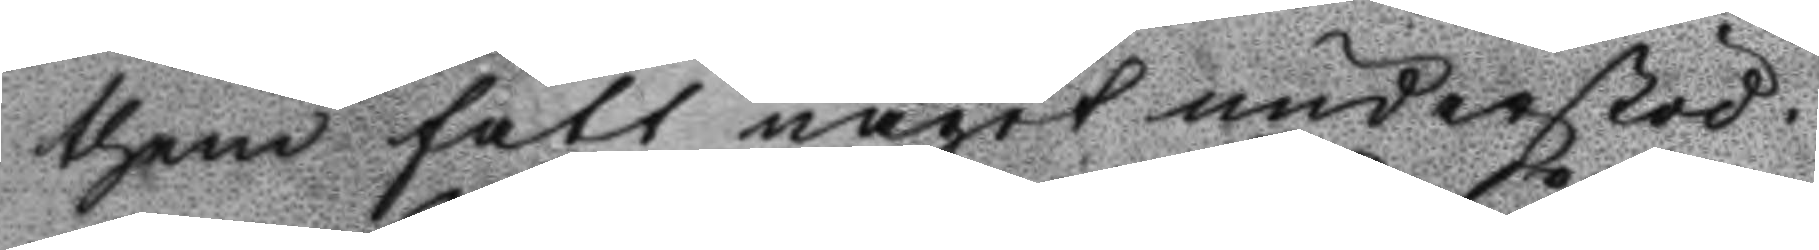them fått något understöd.
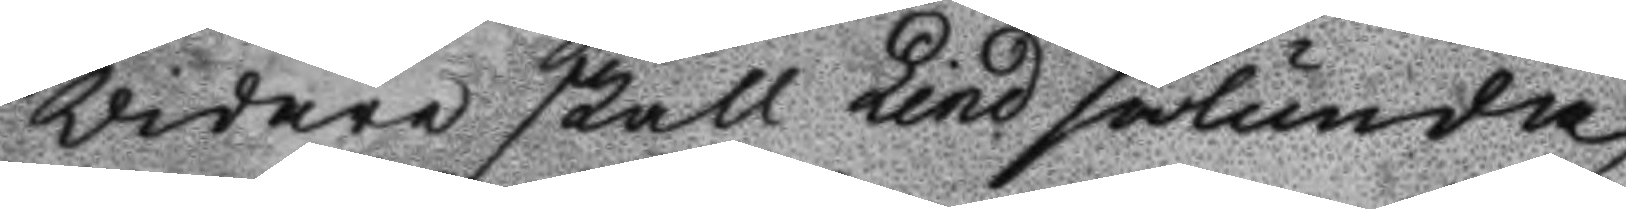Vidare skall Lind sålunda
